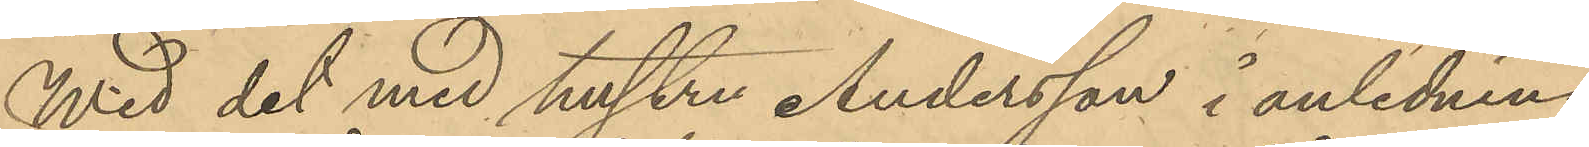Wid det med hustru Andersson i anledning
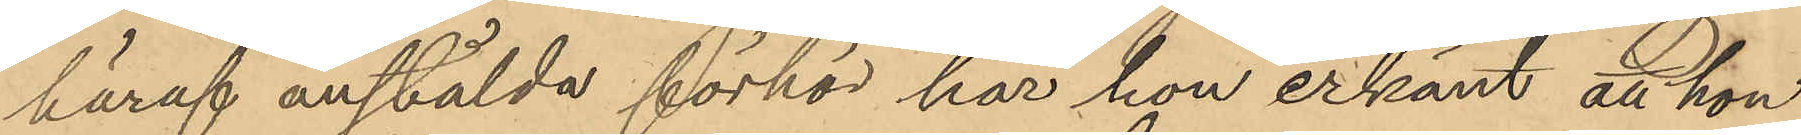häraf anstälda förhör har hon erkänt att hon
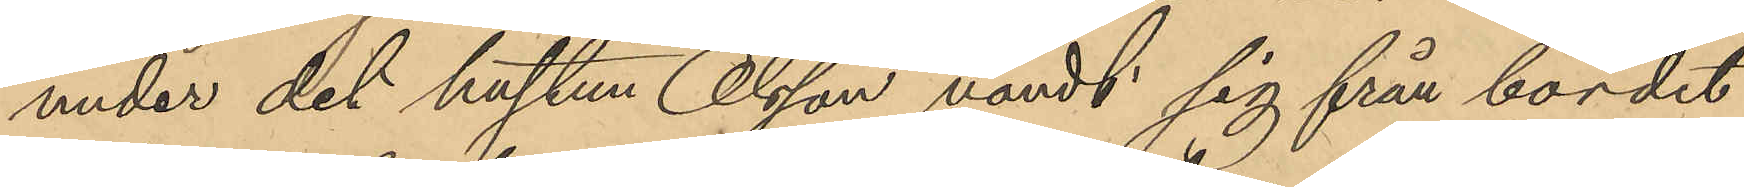under det hustrun Olsson vändt sig från bordet
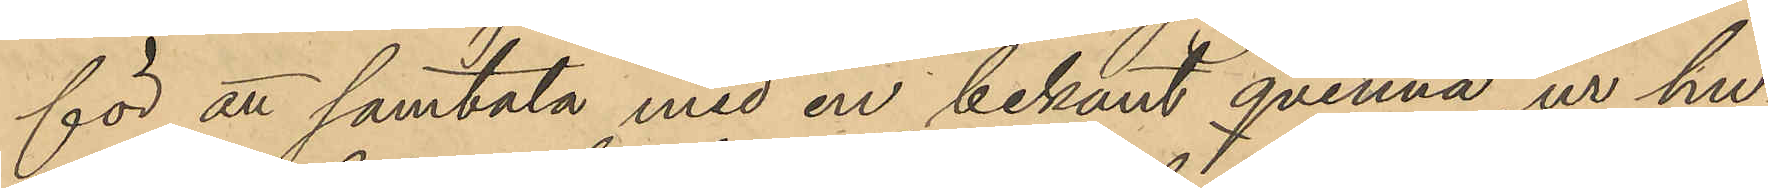för att samtala med en bekant qvinna, ur hu¬
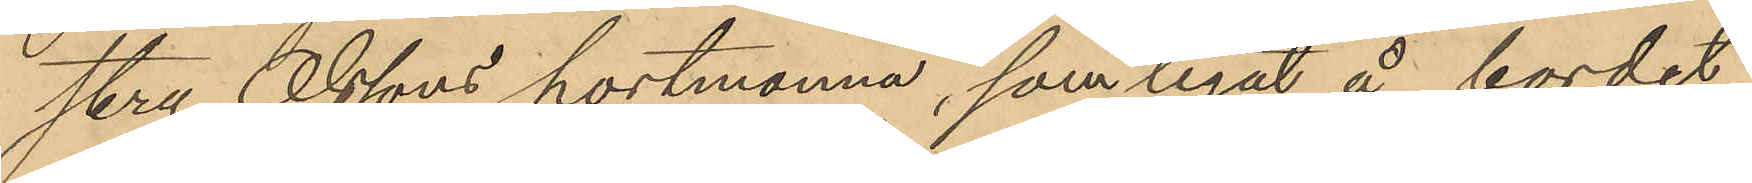stru Olssons portmonnä, som legat å bordet,
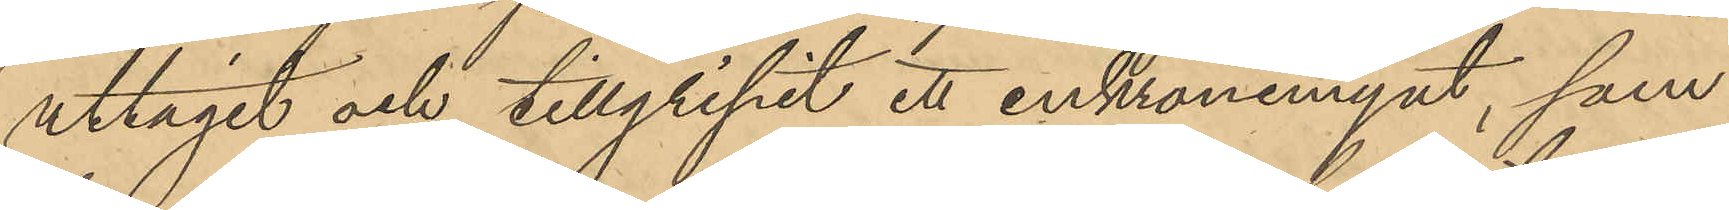uttagit och tillgripit ett enkronsmynt, som
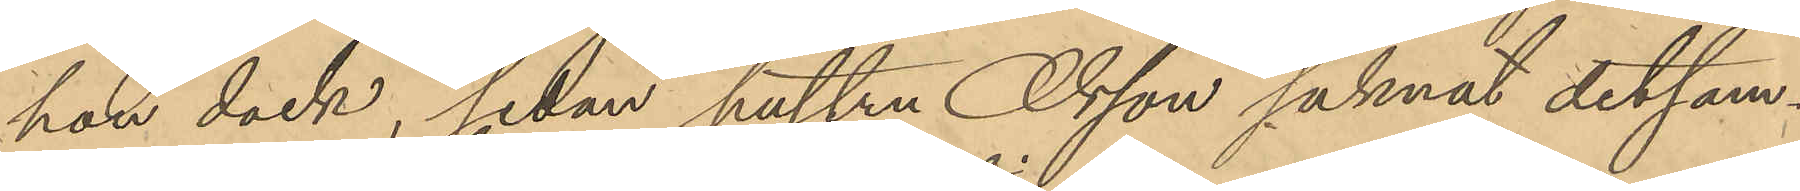hon dock, sedan hustru Olsson saknat detsam¬
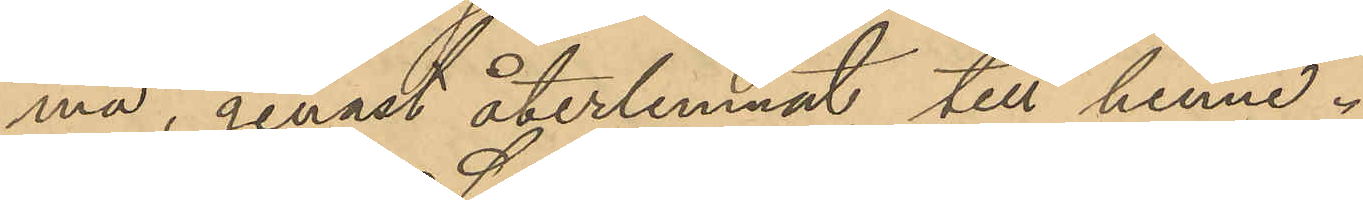ma, genast återlemnat till henne.
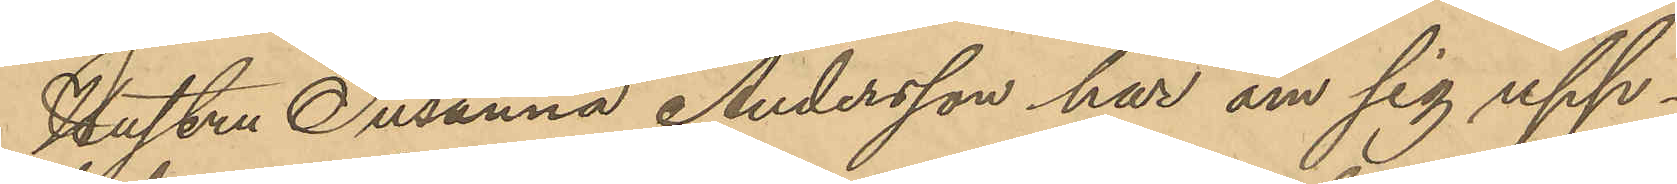Hustru Susanna Andersson har om sig upp¬
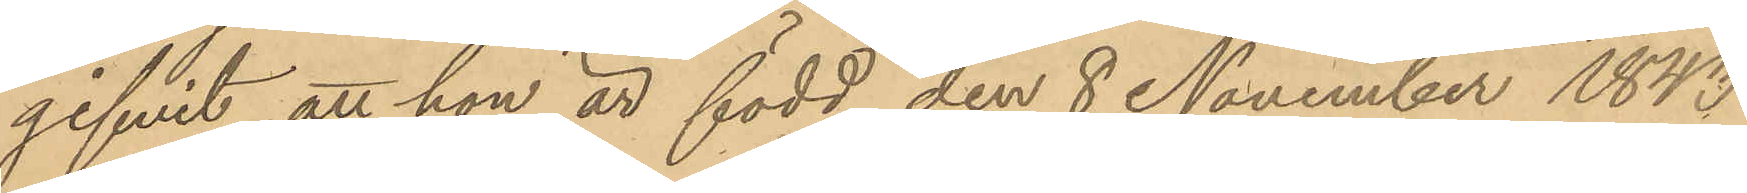gifvit att hon är född den 8 November 1843.
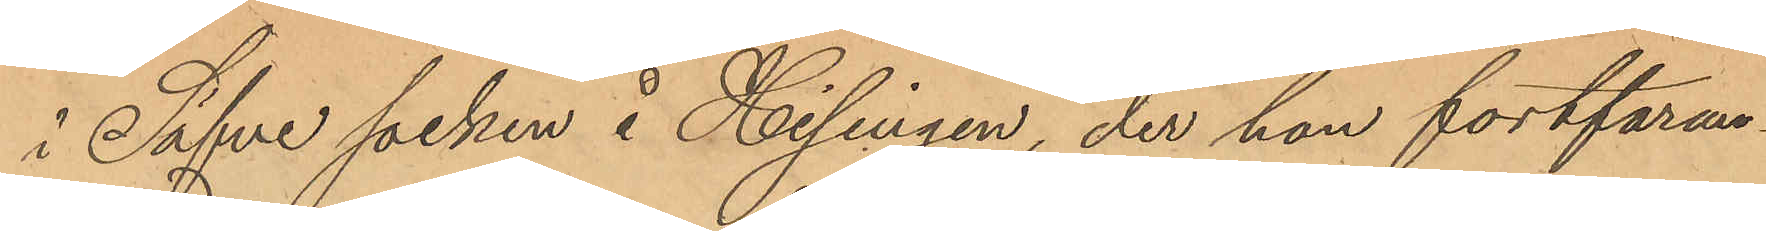i Säfve socken å Hisingen, der hon fortfaran¬
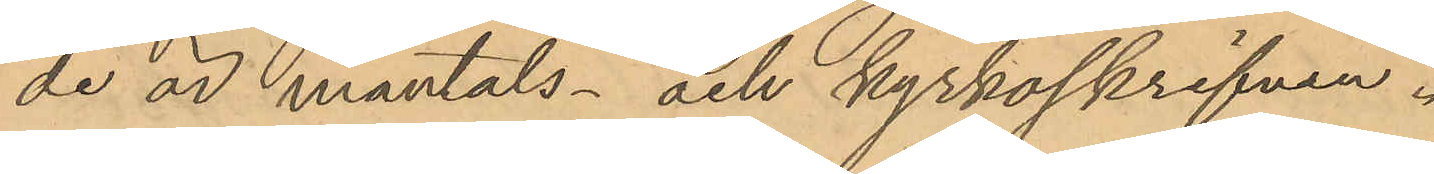de är mantals- och kyrkoskrifven.
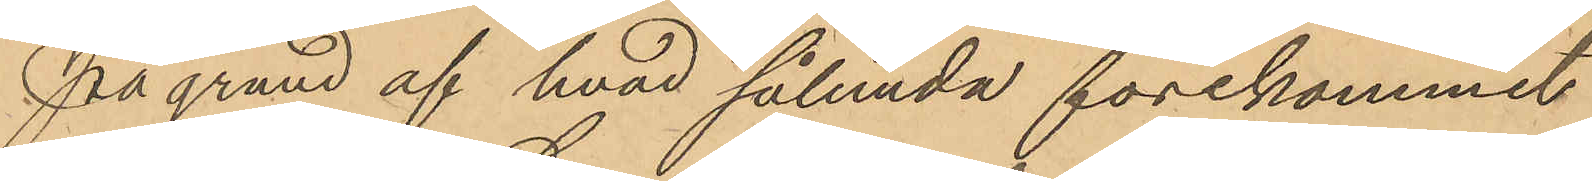På grund af hvad sålunda förekommit
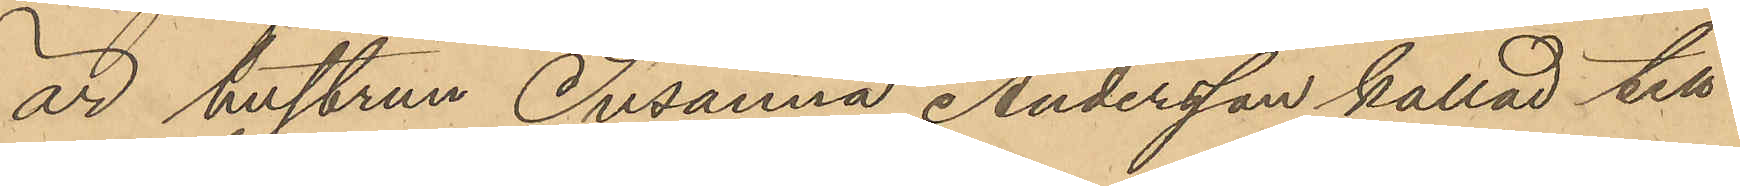är hustrun Susanna Andersson kallad till
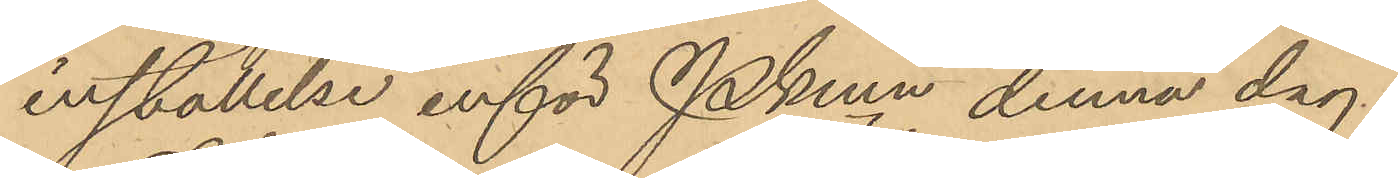inställelse inför Pkmn denna dag.
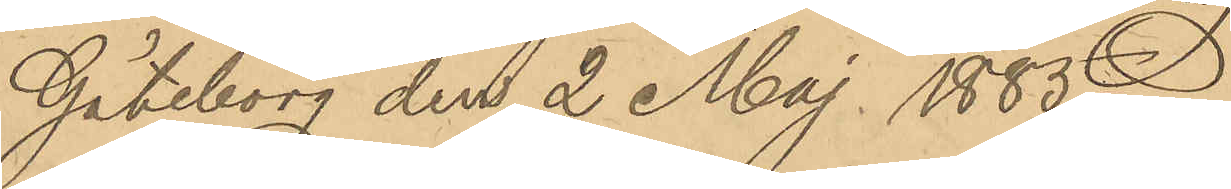Göteborg den 2 Maj 1885.
